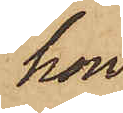hon
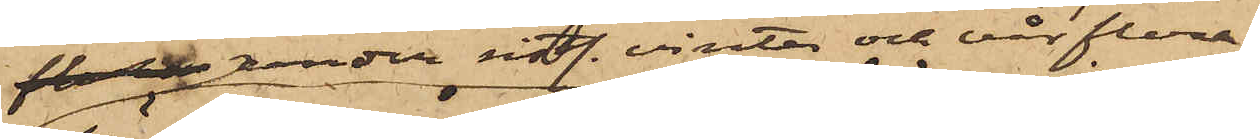 under sistl. vinter och vår flera
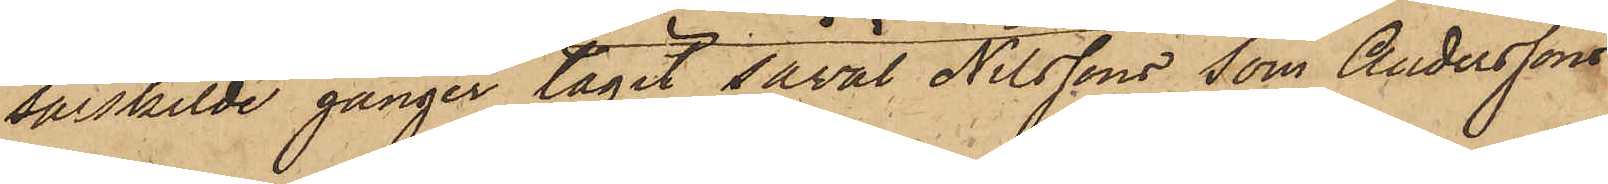särskilde gånger tagit såväl Nilssons som Anderssons
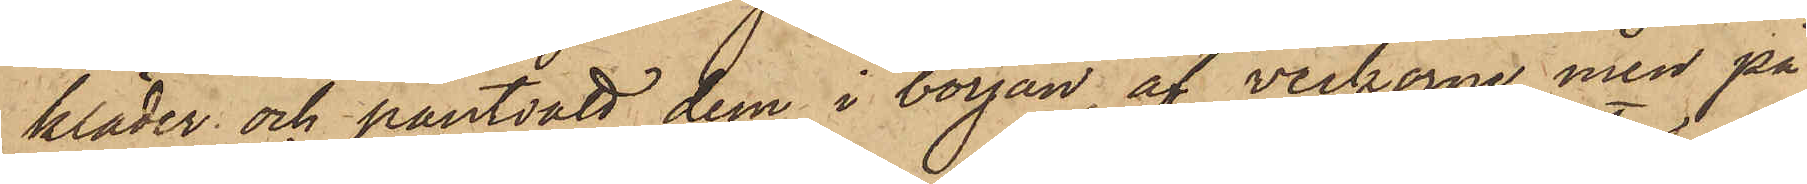kläder och pantsatt dem i början af veckorne men på
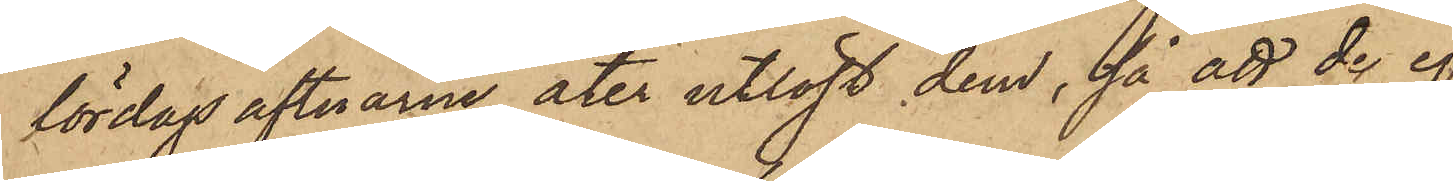lördags aftnarne åter utlöst dem, så att de ej
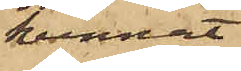kunnat
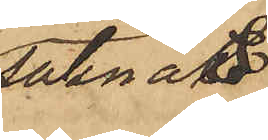saknas
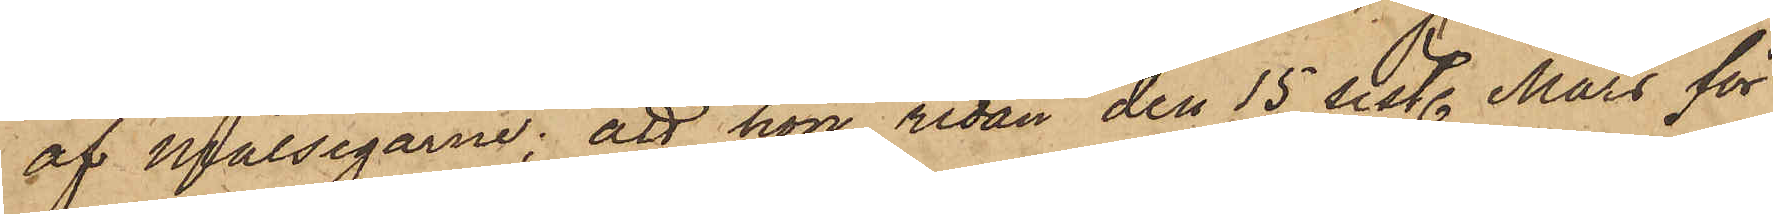af målsegarne; att hon redan den 15 sist. Mars för
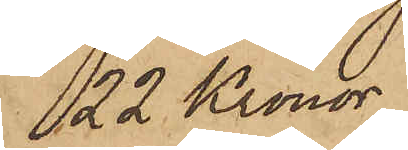22 Kronor
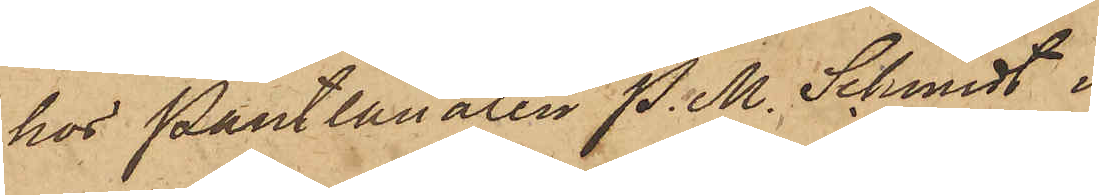hos Pantlånaren P. M. Schmidt i
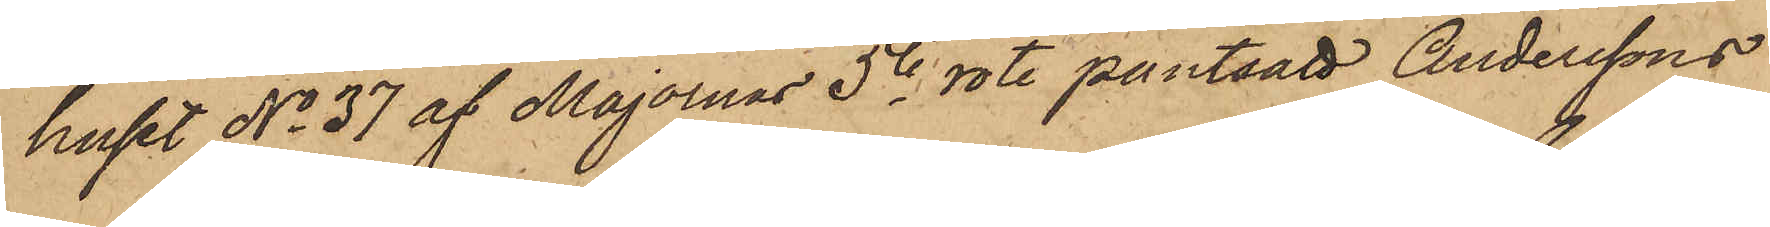huset No 37 af Majornas 5te rote pantsatt Anderssons
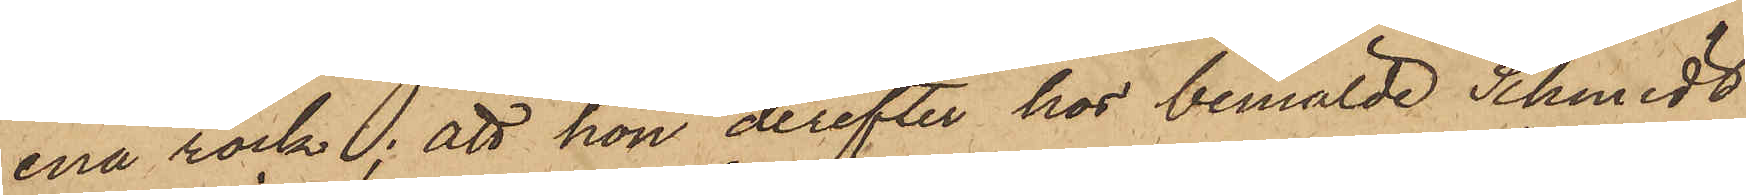ena rock; att hon derefter hos bemälde Schmidt
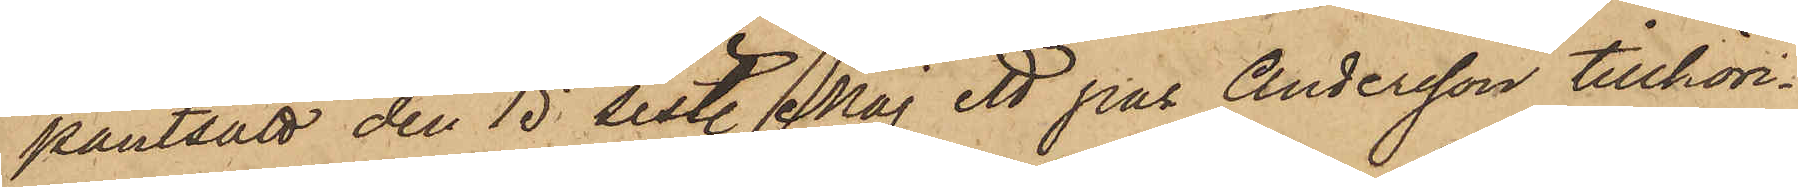pantsatt den 15 sist. Maj ett par Andersson tillhöri¬
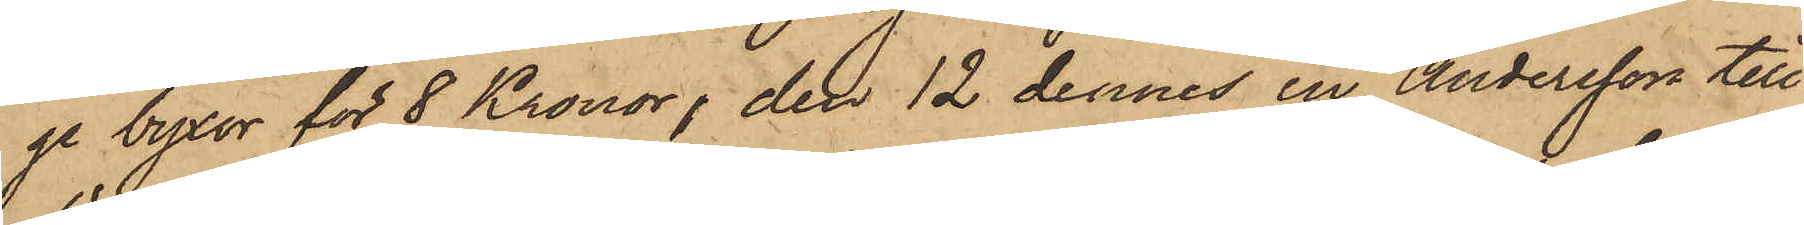ge byxor för 8 Kronor, den 12 dennes en Andersson till¬
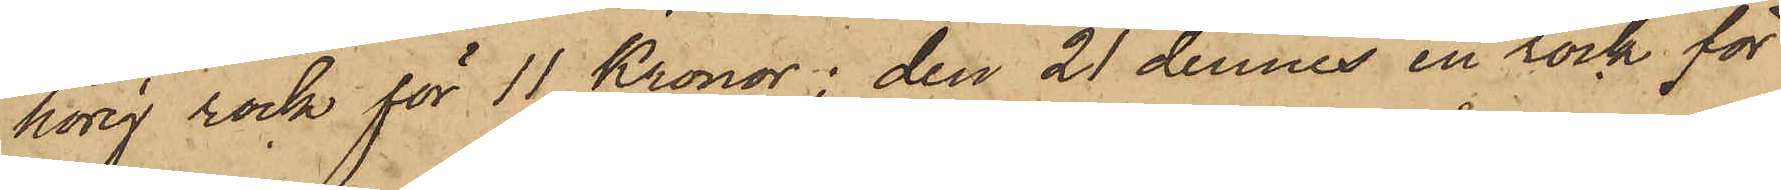hörig rock för 11 Kronor, den 21 dennes en rock för
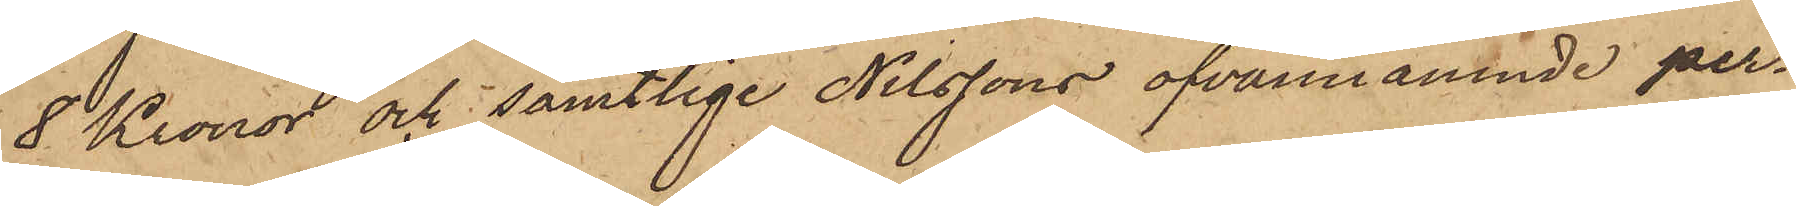8 Kronor och samtlige Nilssons ofvannämnde per¬
